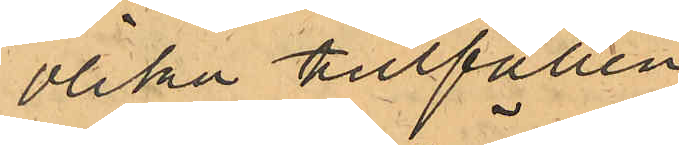olika tillfällen
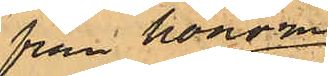från honom
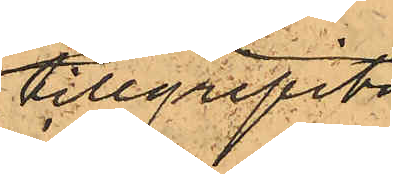tillgripits
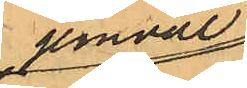jemväl
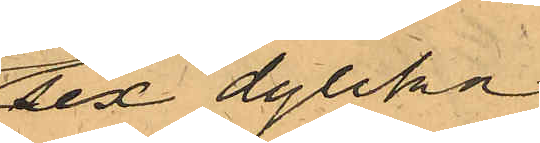sex dylika
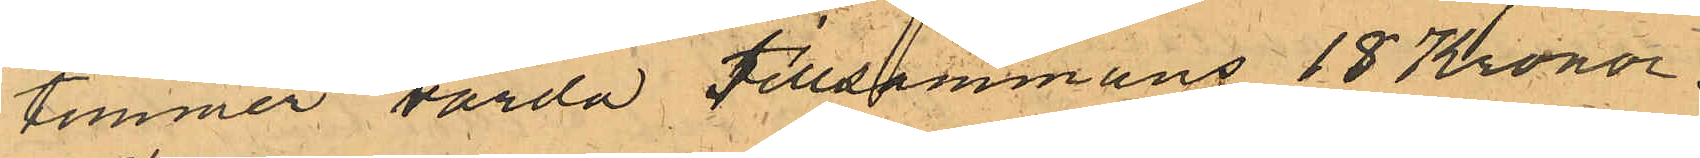timmer värda tillsammans 18 Kronor.
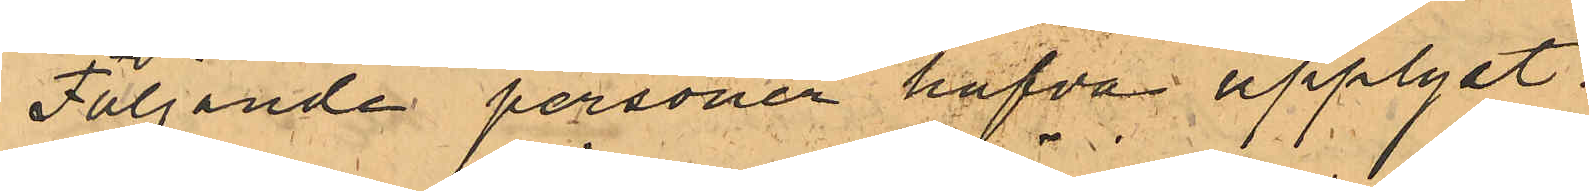Följande personer hafva upplyst:
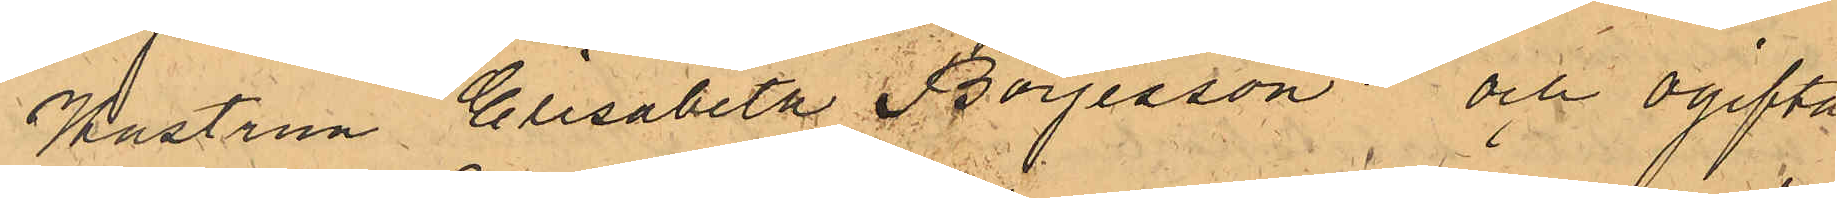Hustrun Elisabeth Börjesson och ogifta
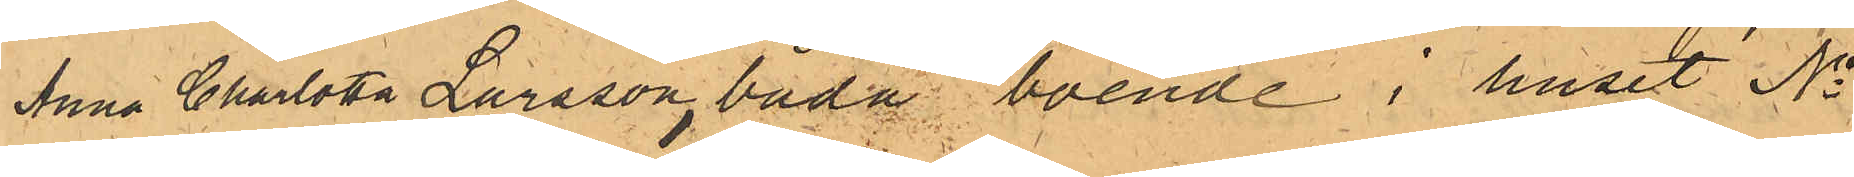Anna Charlotta Larsson, båda boende i huset No
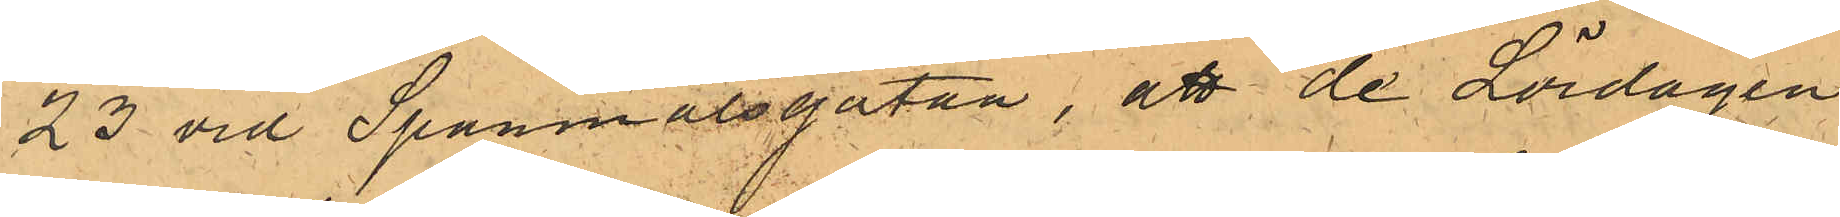23 vid Spannmålsgatan, att de Lördagen
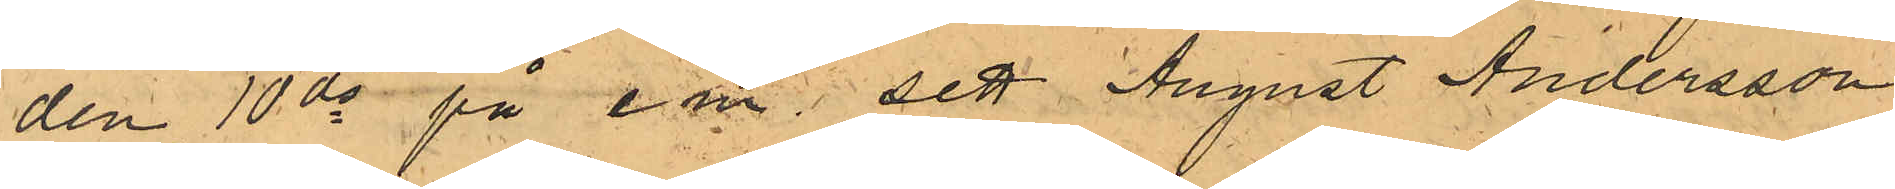den 10 ds på e.m. sett August Andersson 
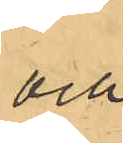och
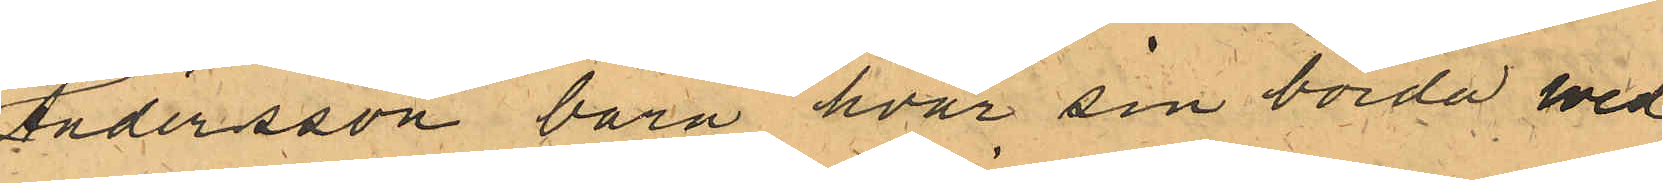Andersson bära hvar sin börda wed
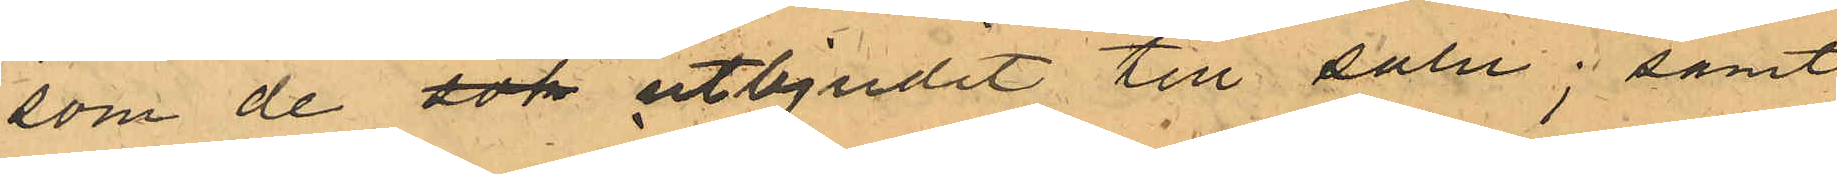som de sok utbjudit till salu; samt
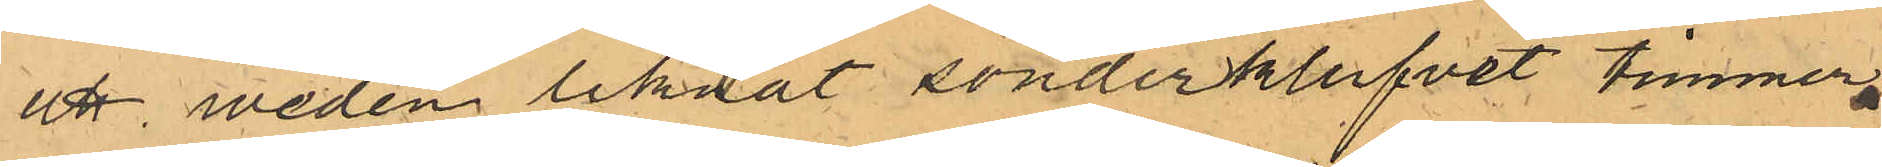att weden liknat sönderklufvet timmer.
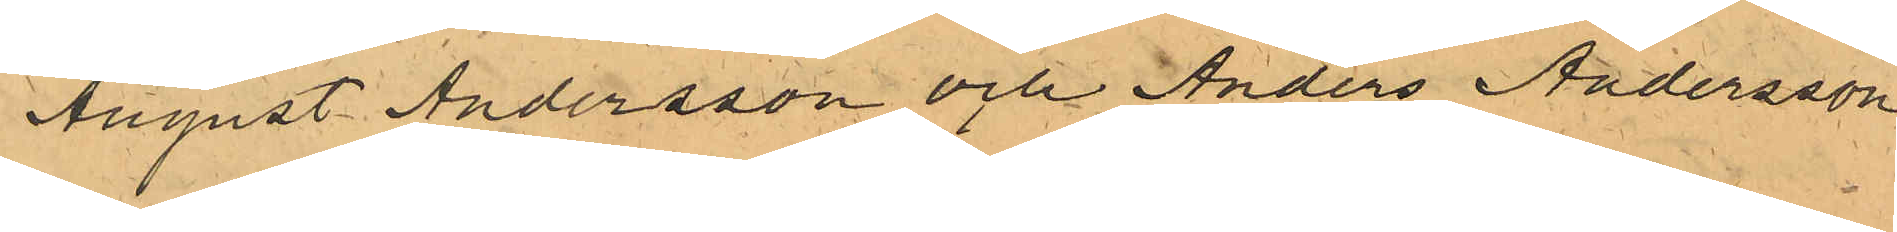August Andersson och Anders Andersson
